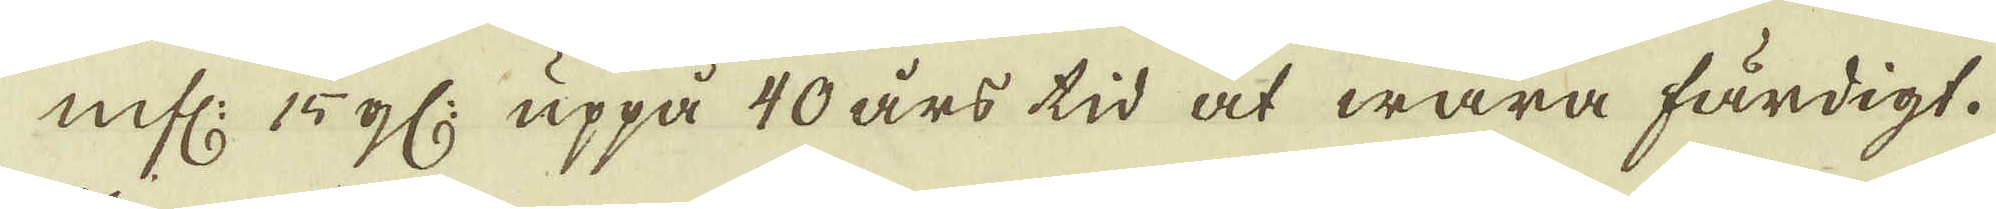mfl: 15 gl: uppå 40 års tid at wara färdigt.
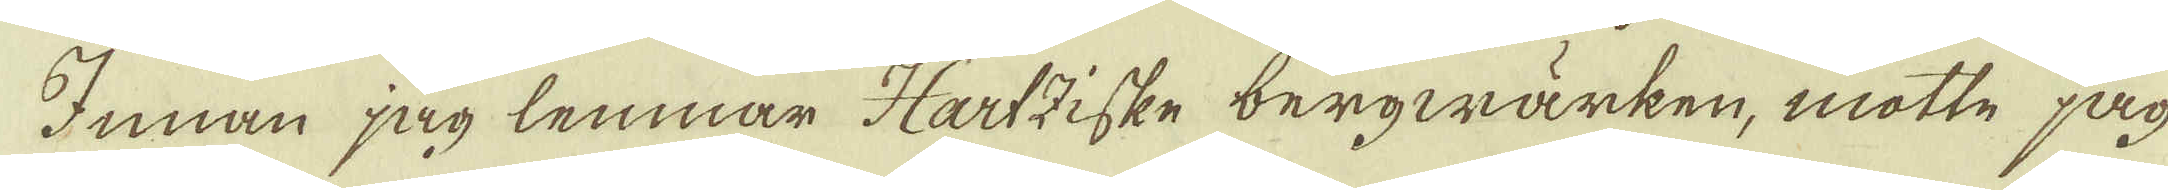Innan jag lemnar Hartziske bergwärken, motte jag
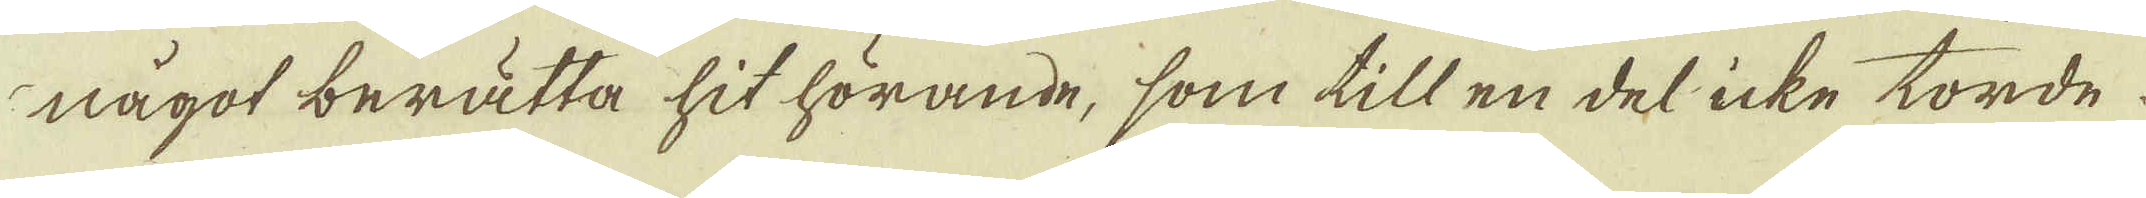något berätta hit hörande, som till en del icke torde.
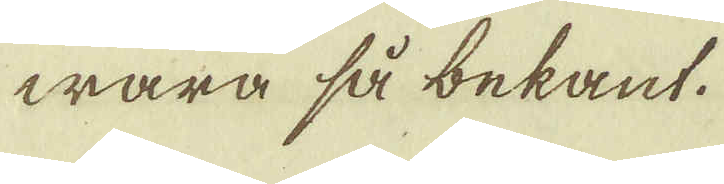wara så bekant.
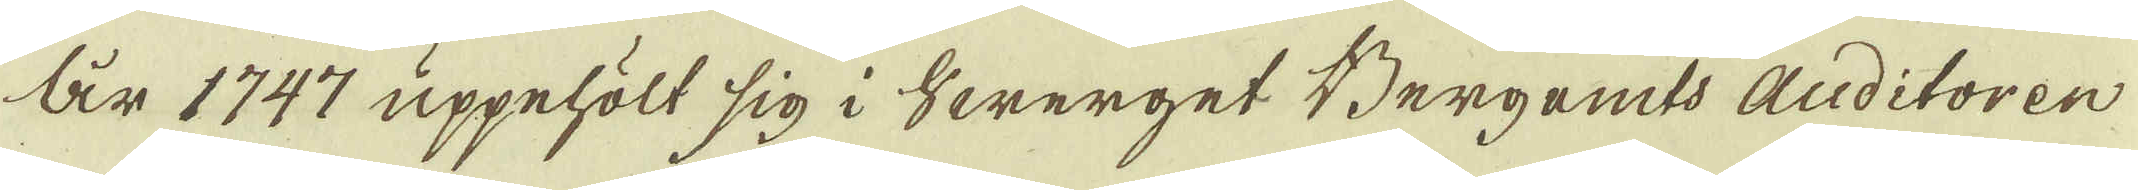År 1747 uppehölt sig i Swerget Bergemts Auditoren
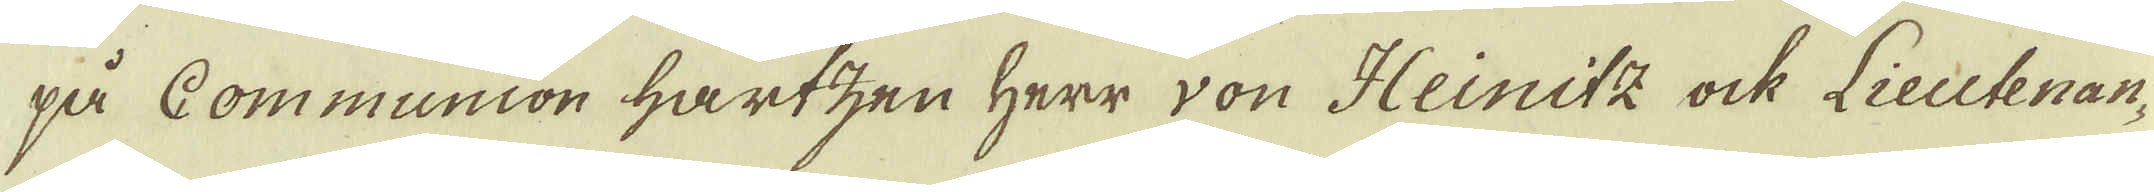på Communion Hartzen Herr von Heinitz ock Lieutenan-
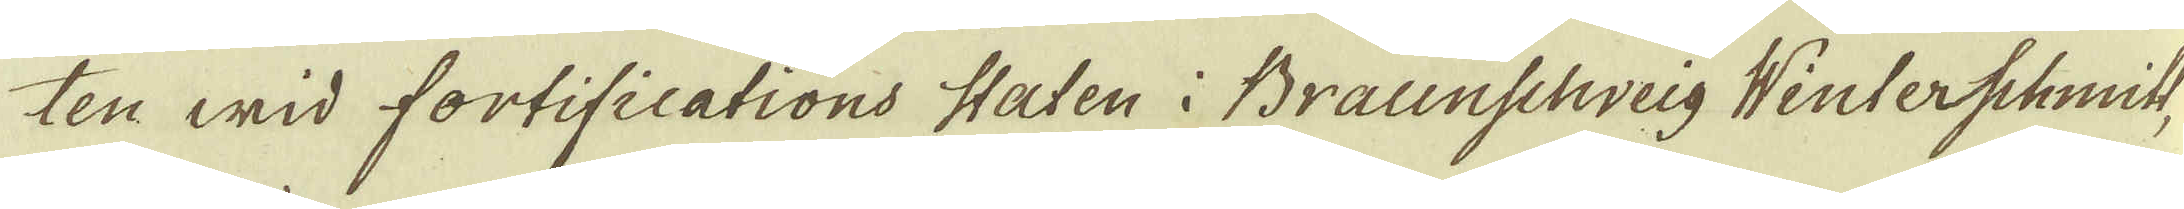ten wid fortifications staten i Braunschweig Winterschmitt,
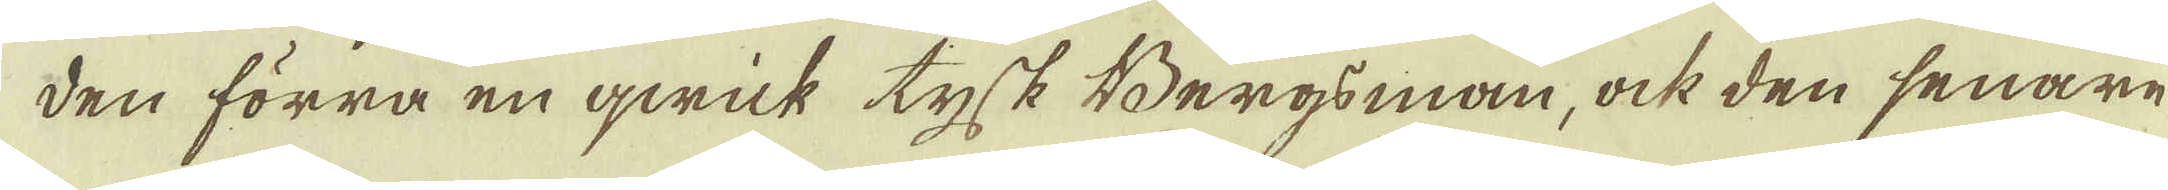den förra en qwick tysk Bergsman, ock den senare
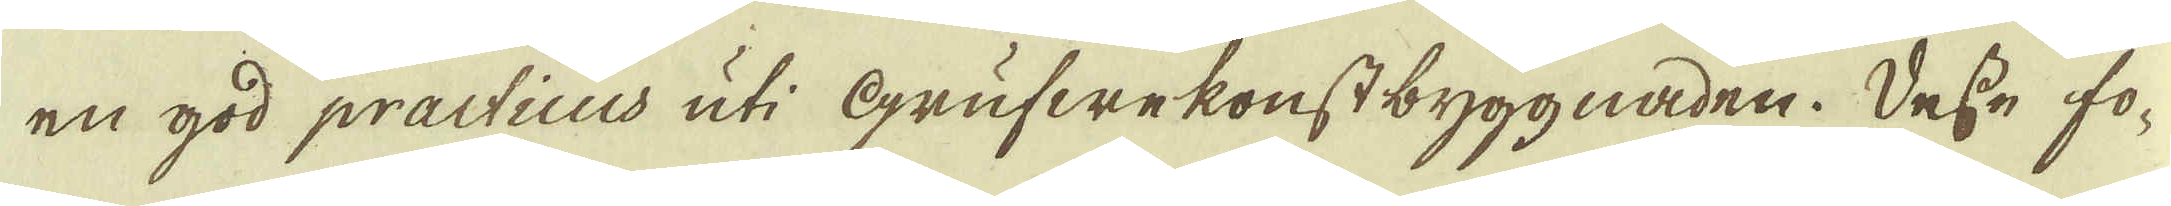en god practicus uti Grufwekonst byggnaden. Desse fo-
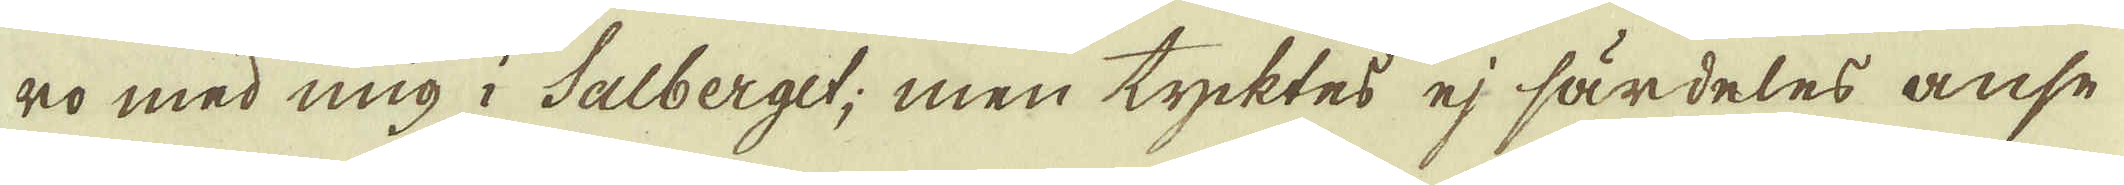ro med mig i Salberget; men tycktes ej särdeles anse-
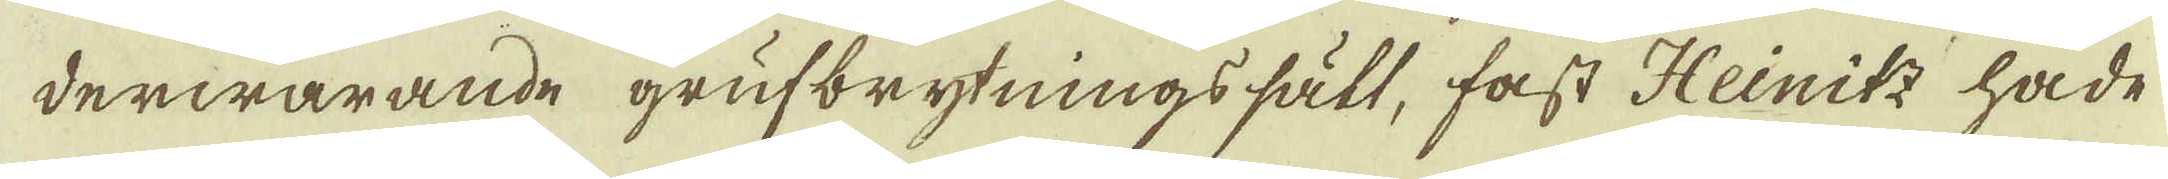derwarande grufbrytningssätt, fast Heinitz hade
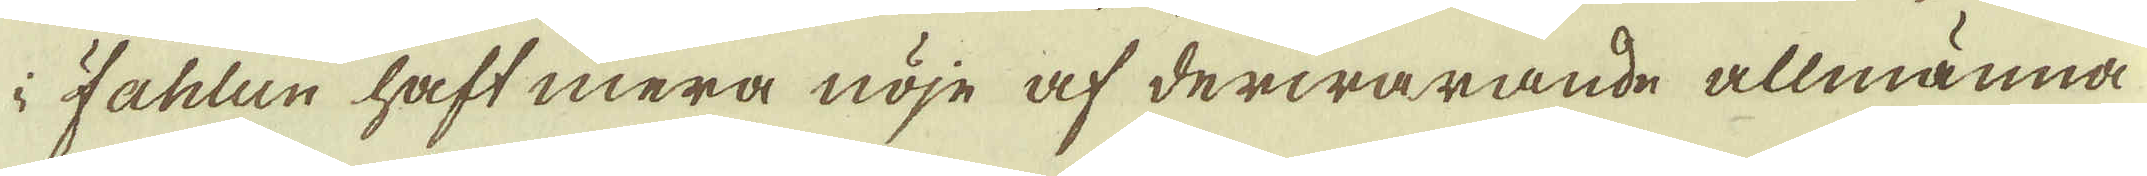i Fahlun haft mera nöje af derwarande allmänna
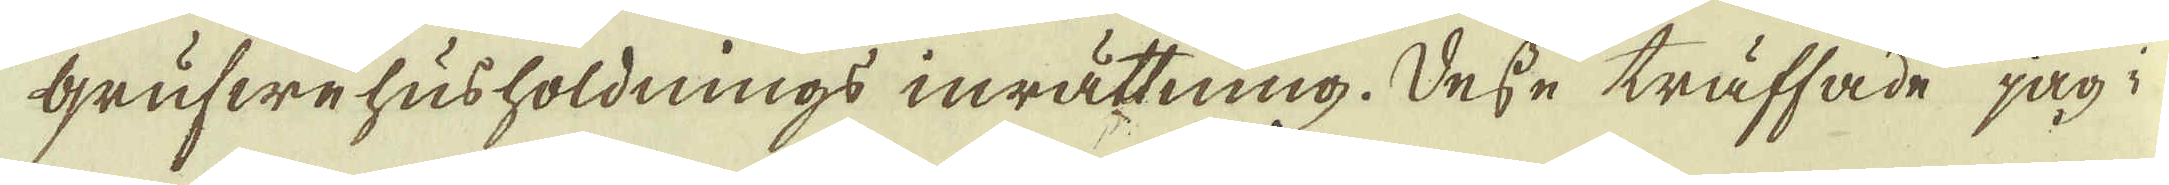Grufwehusholdnings inrättning. Desse träffade jag i
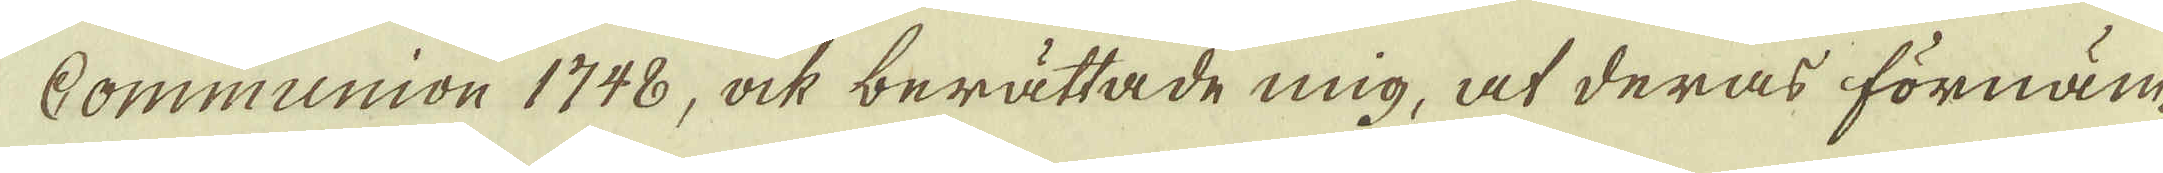Communion 1748, ock berättade mig, at deras förnäm-
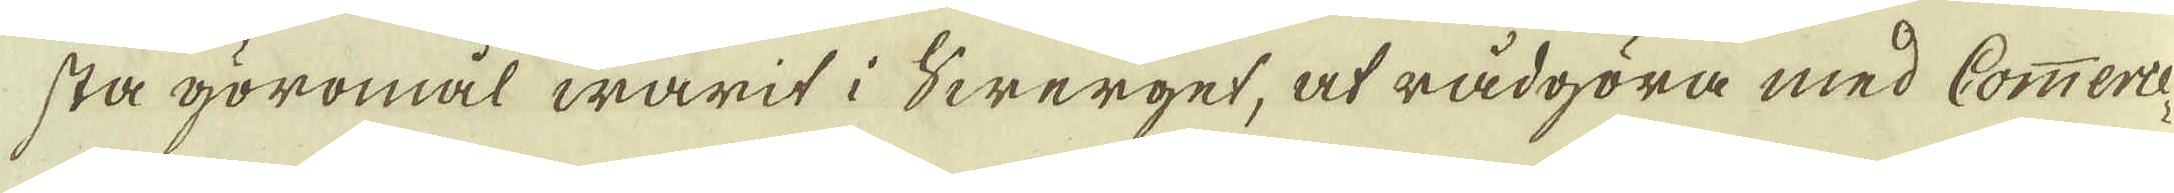sta göromål warit i Swerget, at rådgöra med Commerce-
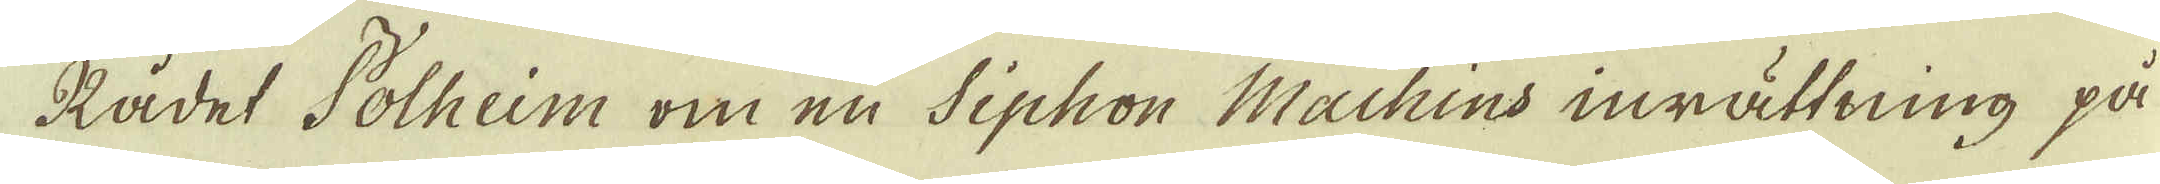Rådet Polheim om en Siphon Machins inrättning på
